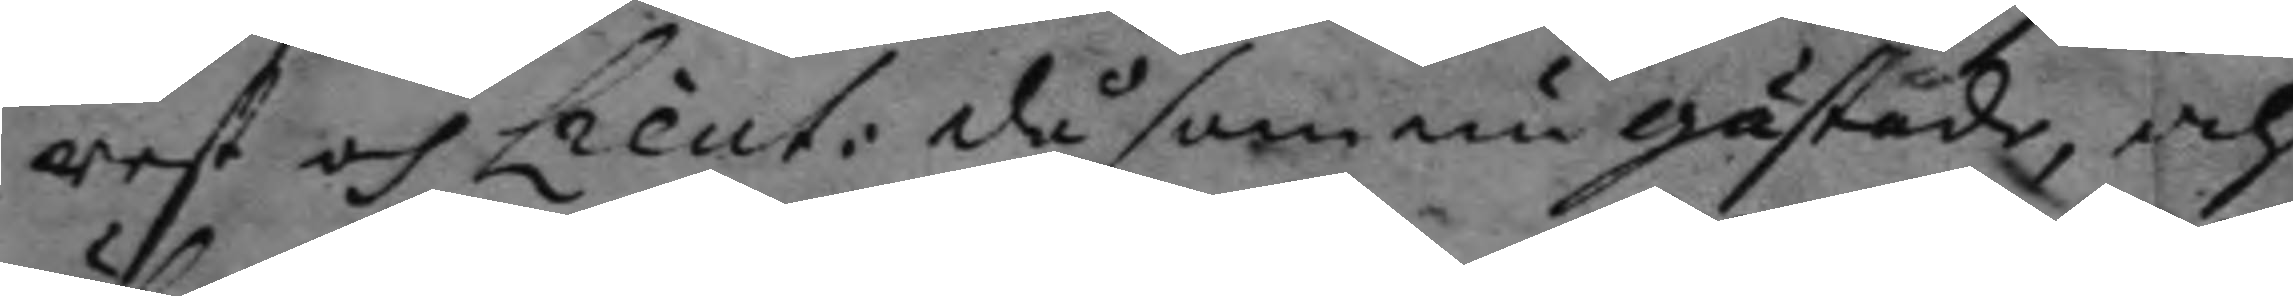rest och Lieut: då som nu gästade, och
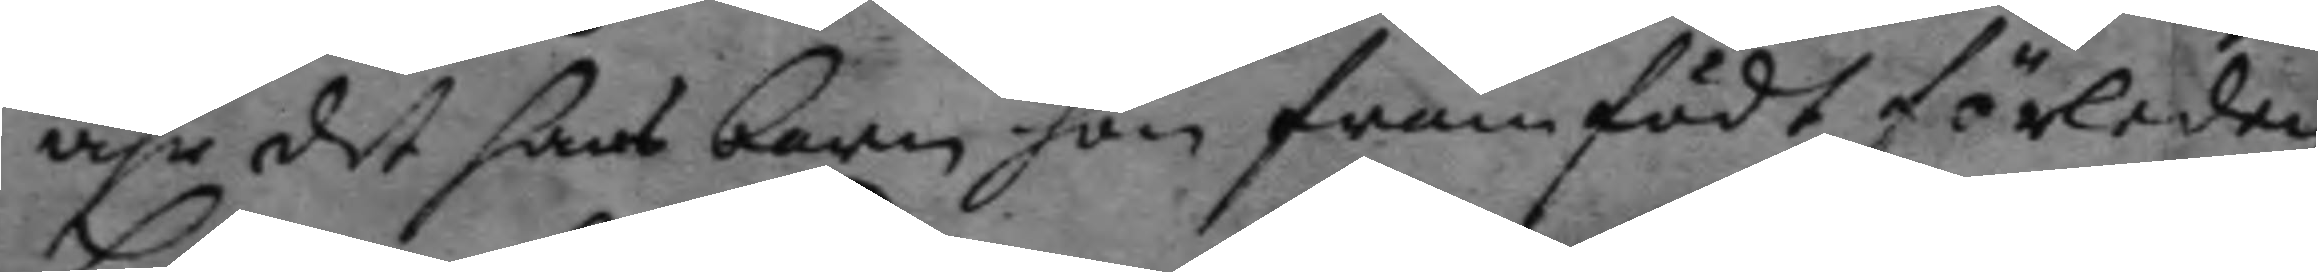ähr det hans barn hon framfödt förleden
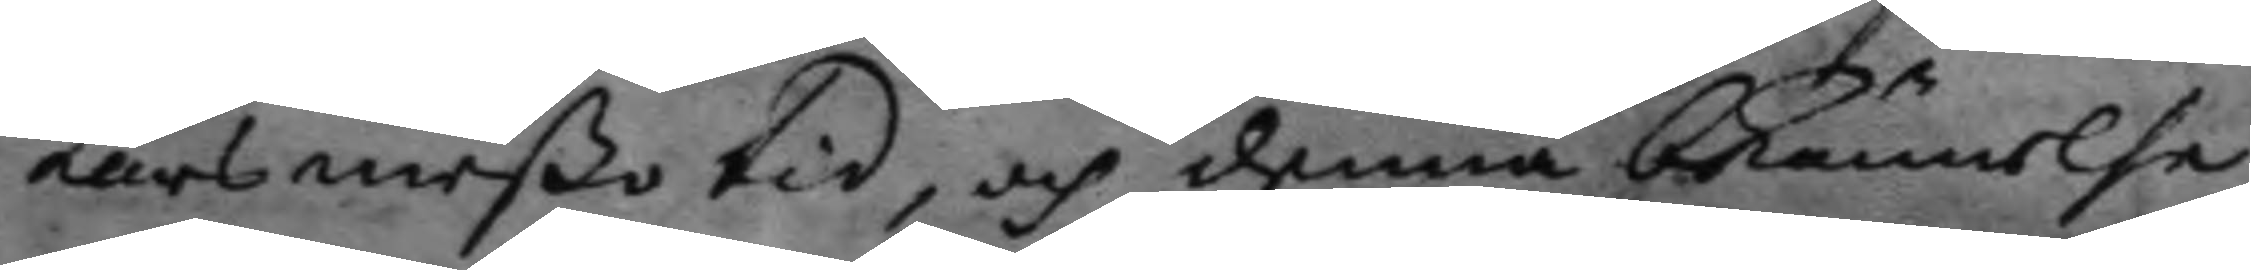Larsmeßo tid, och denna bekännelse
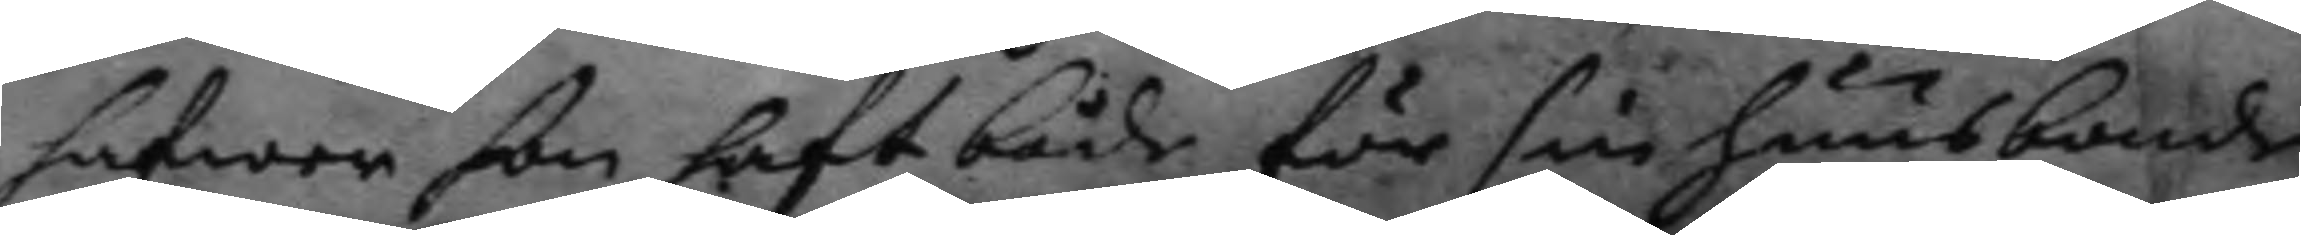hafwer hon haft både för sin huusbonde
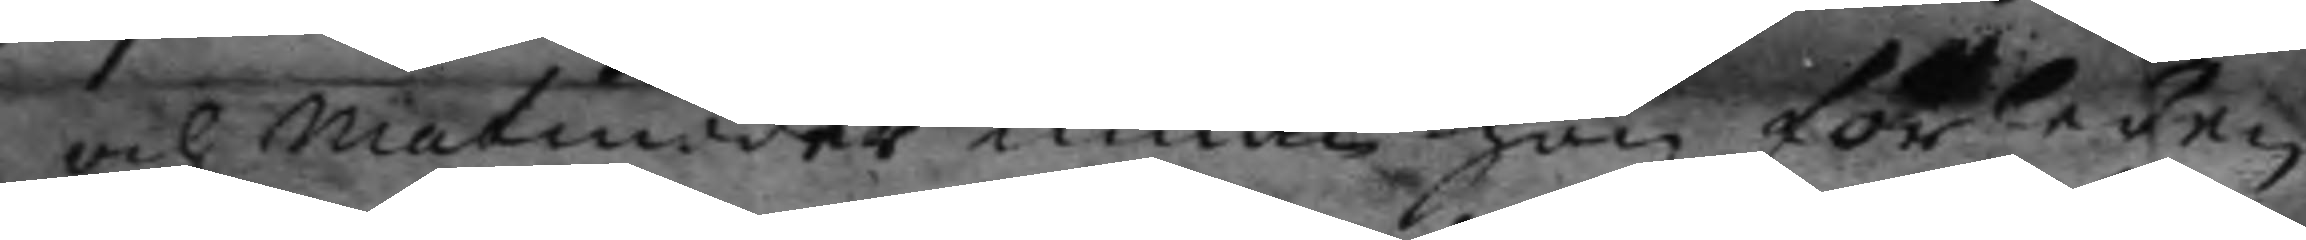och matmoder innan hon förleden
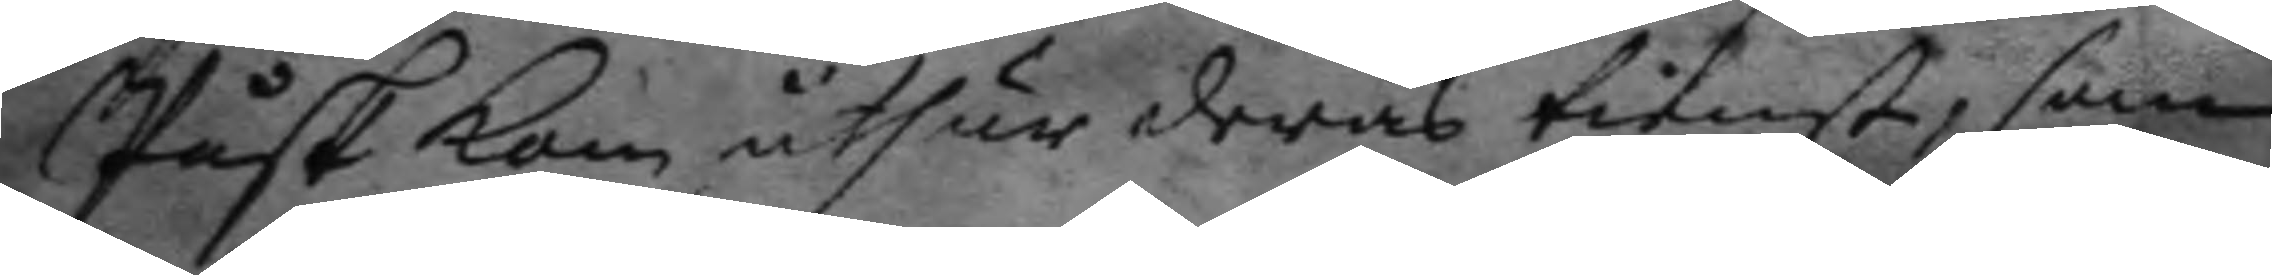Påsk kom uthur deras tienst, som
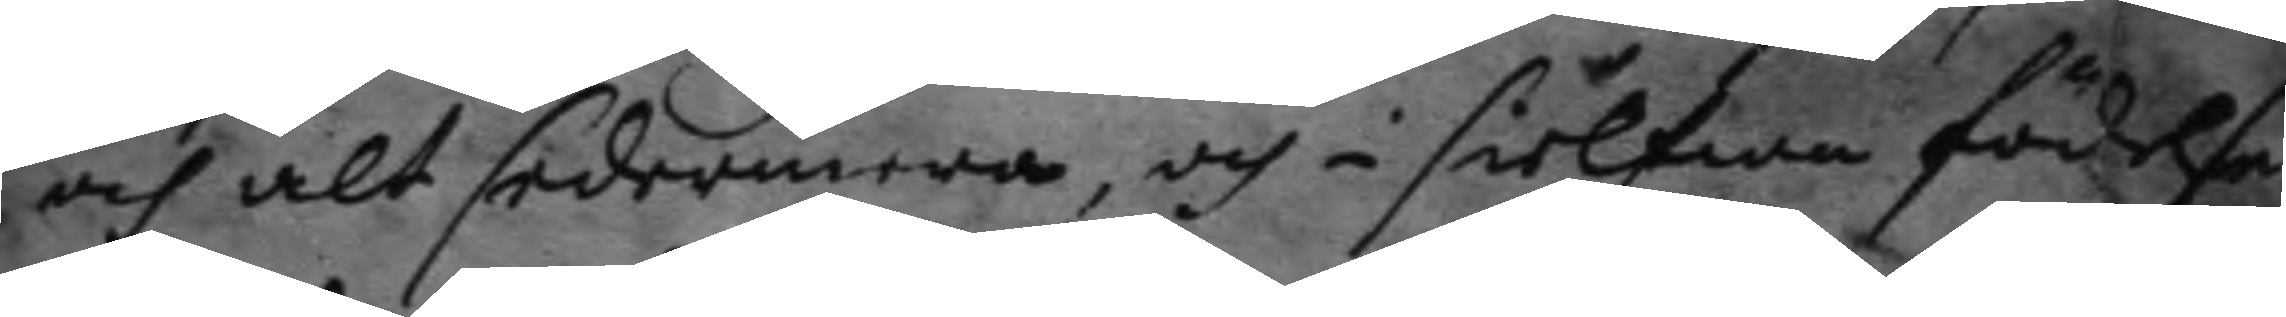och alt sedermera, och i sielfwa födelse¬
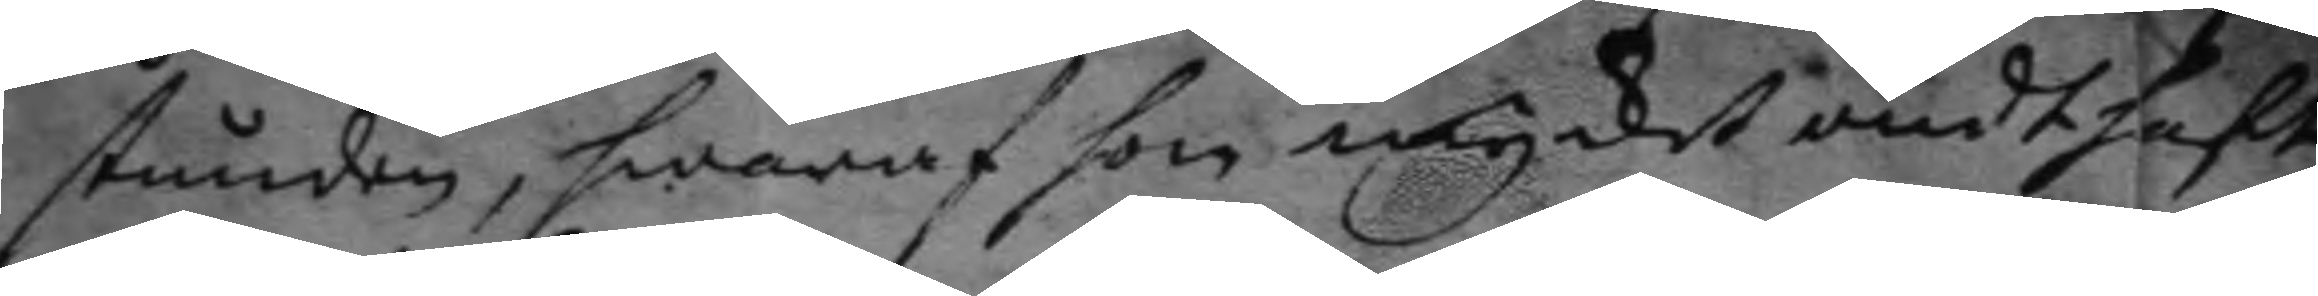stunden, hwaraf hon mycket ondt haft,
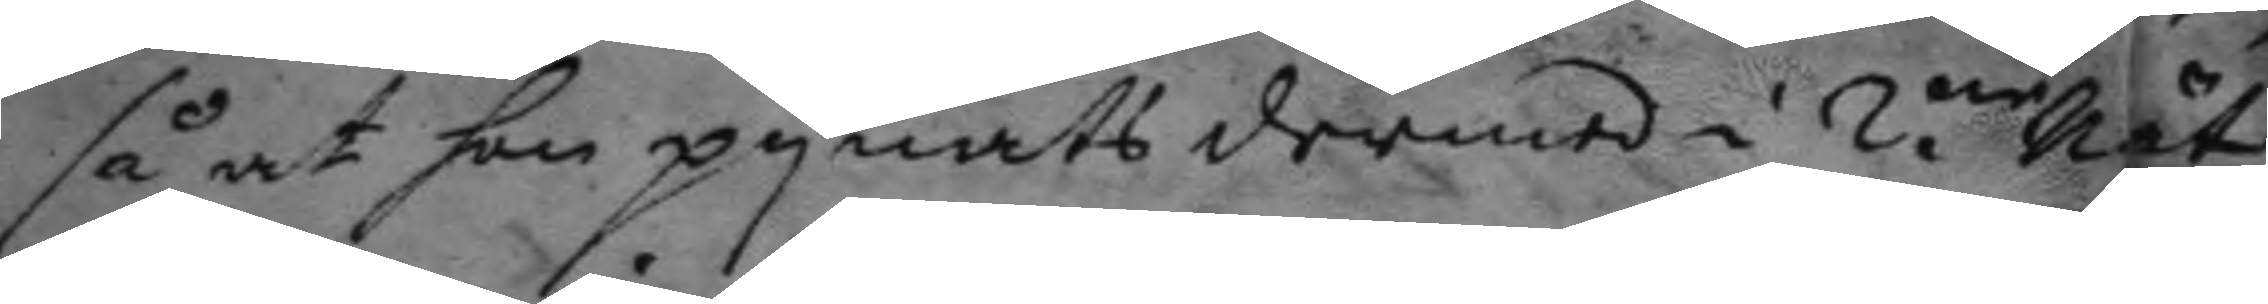så at hon pynats dermed i 2.ne nät¬
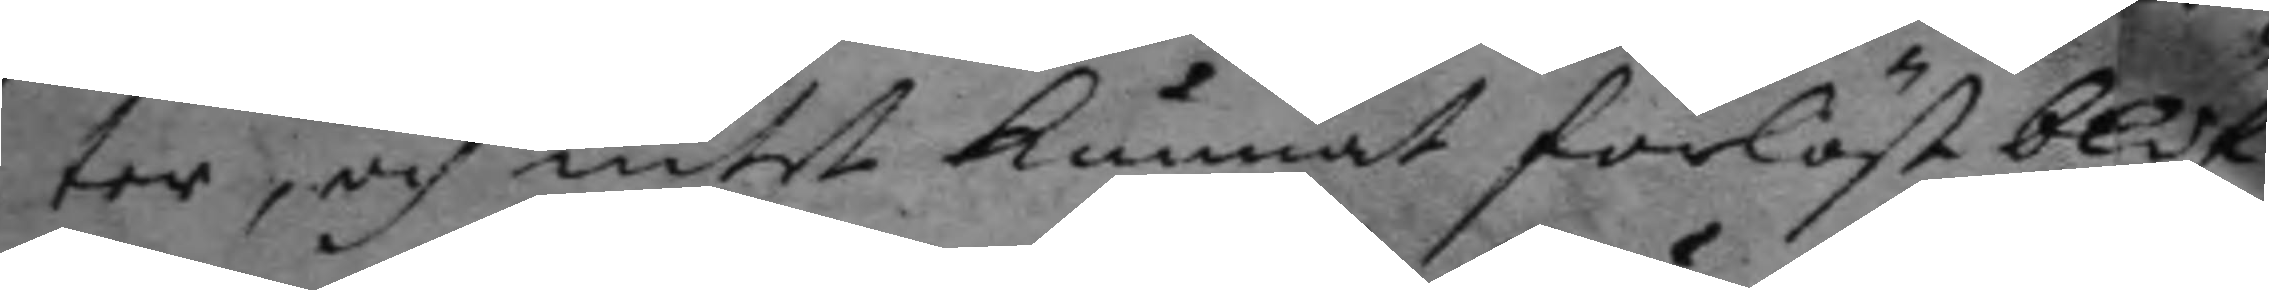ter, och intet kunnat förlöst blif¬
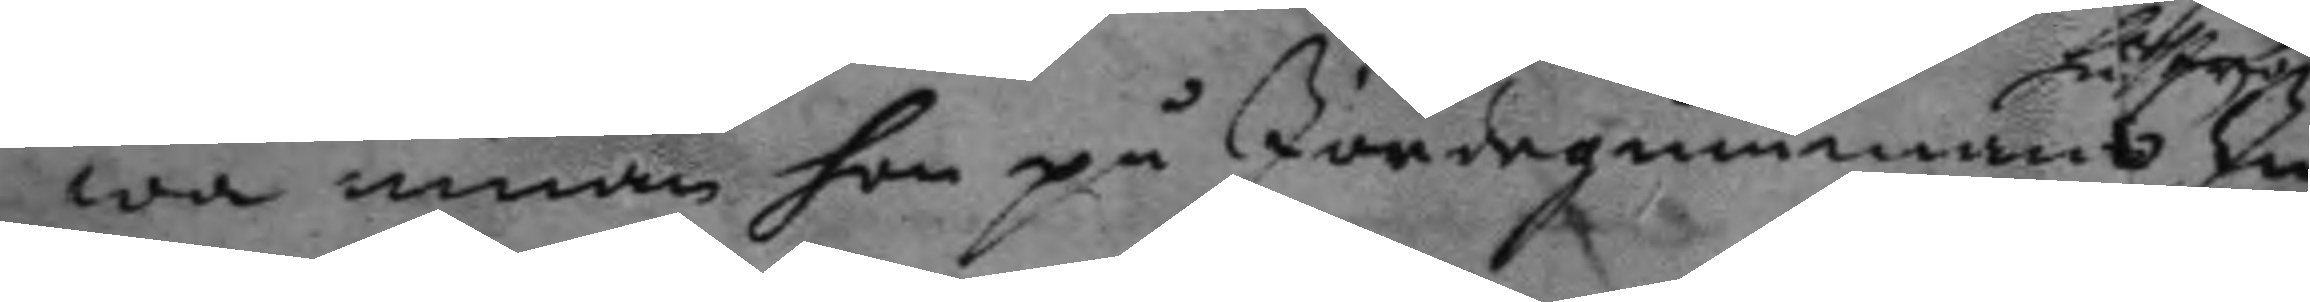wa innan hon på Jordegummans In¬
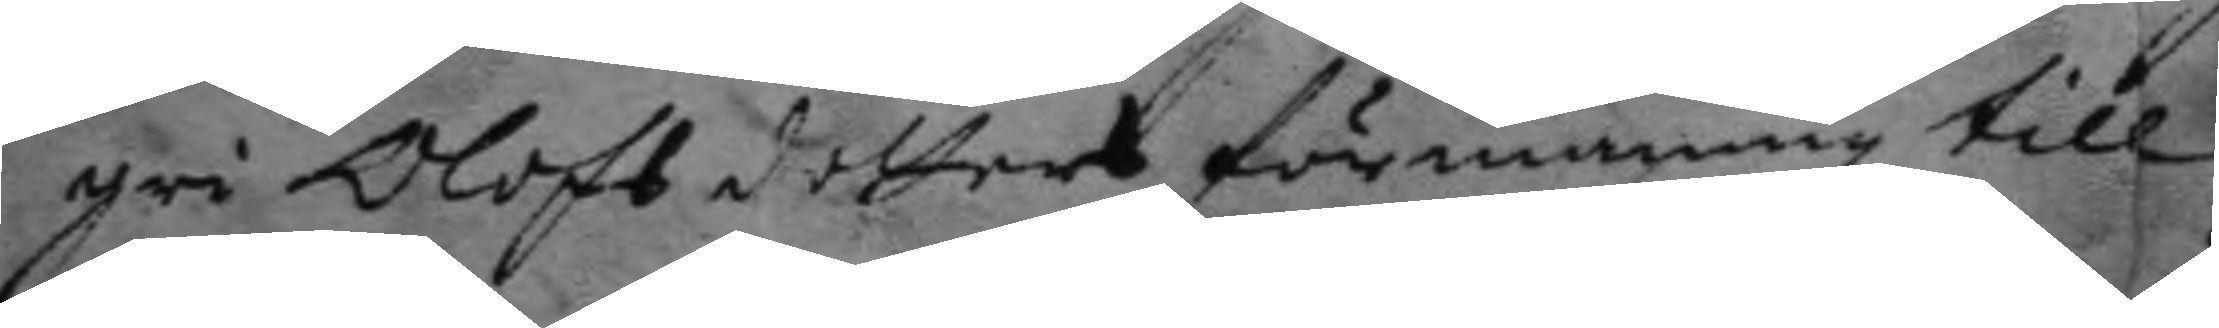gri Olofs dotters förmaning till
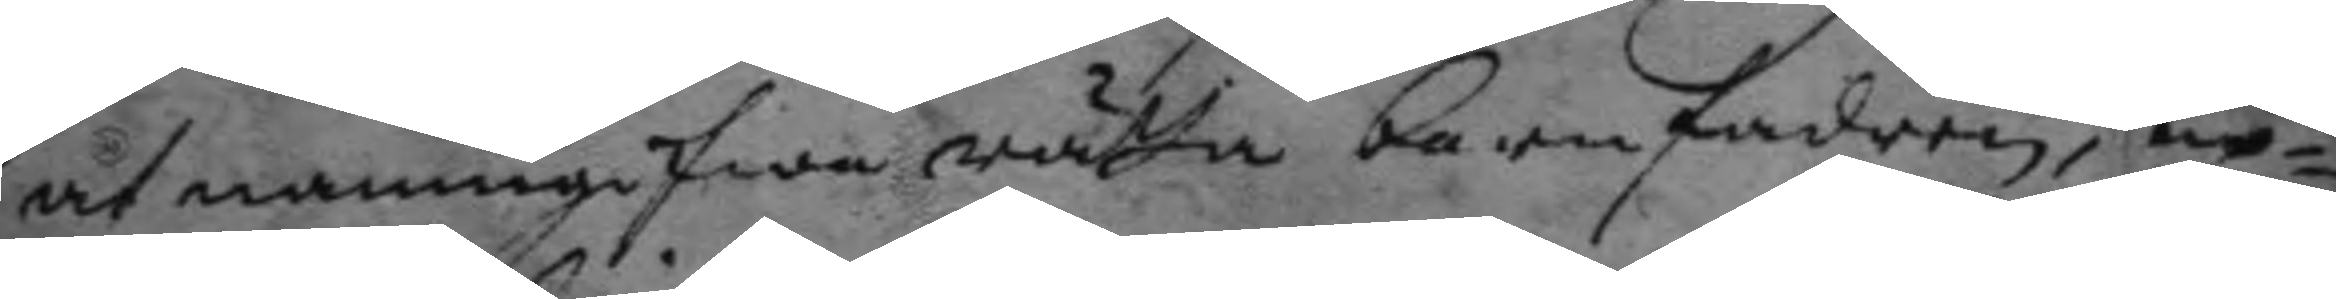at namngifwa rätta barnfadren, up¬ 
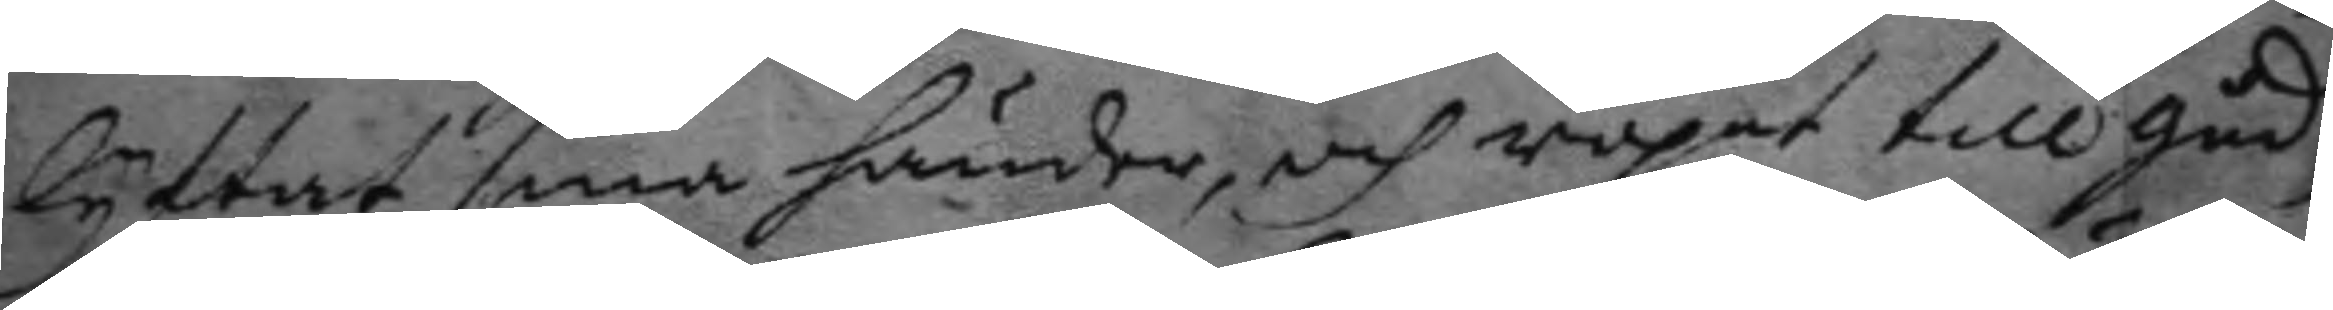lyftat sina händer, och ropat till gud
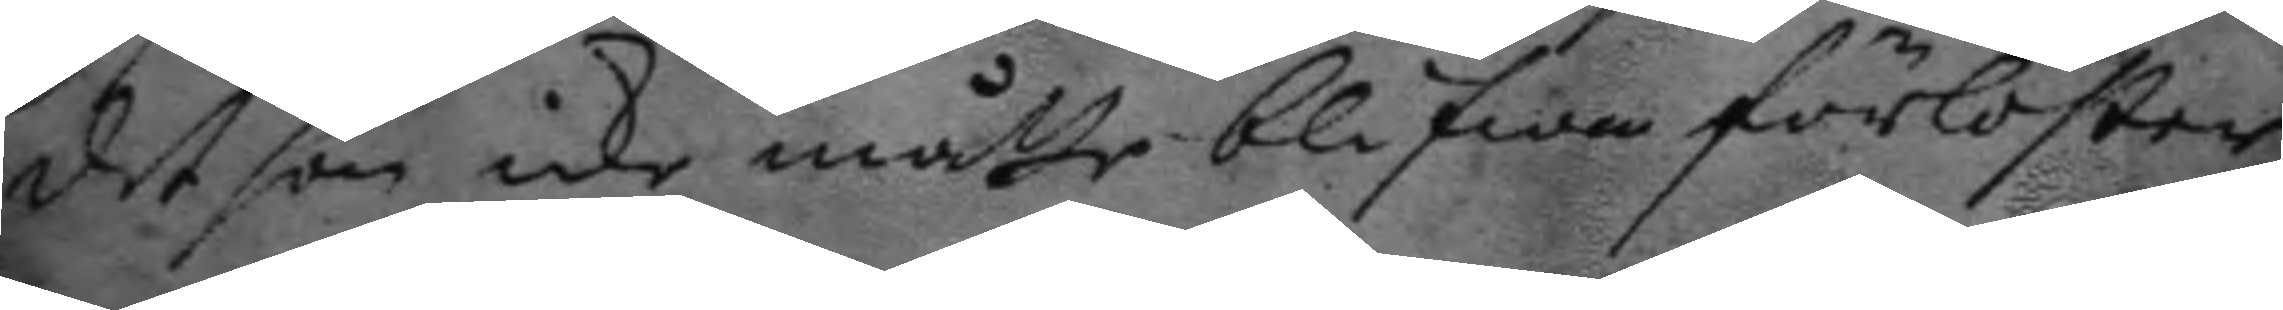det hon icke måtte blifwa förlöster
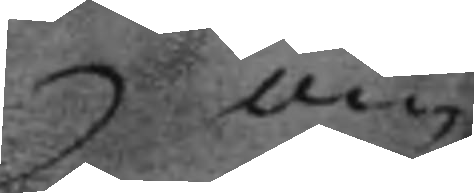om
